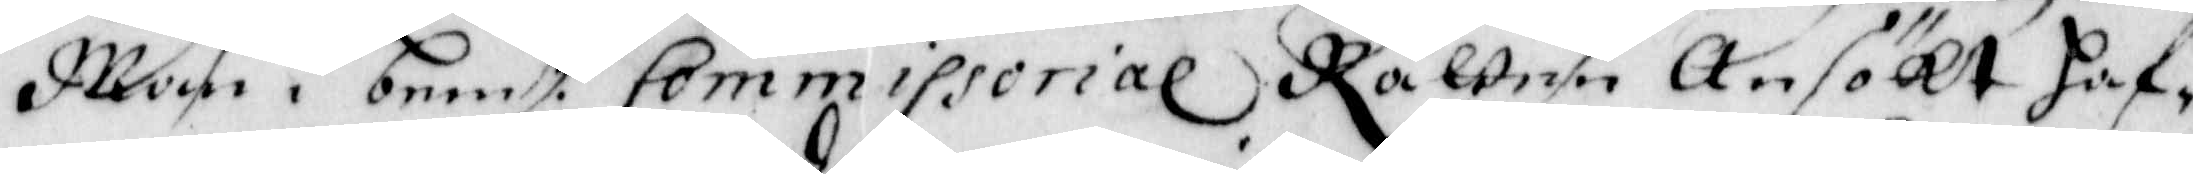Man i bemt.e Commissorial Rätten Ansökt Haf¬
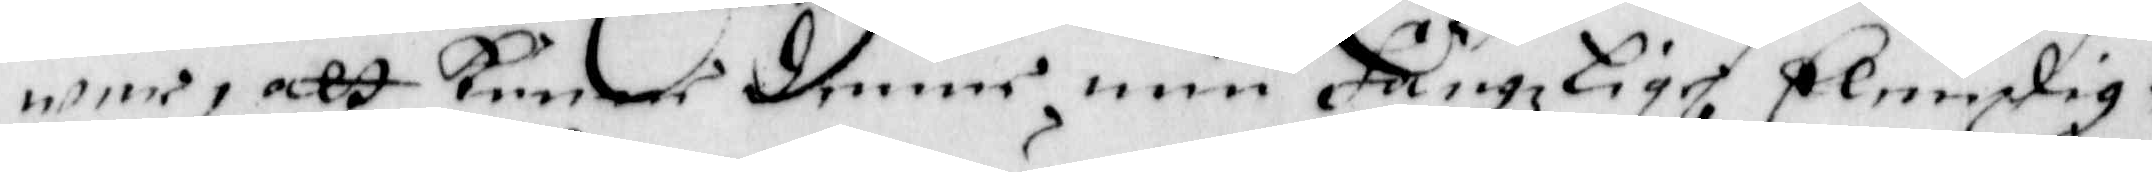wer, att Kuner denne min fängzlige Elendig¬
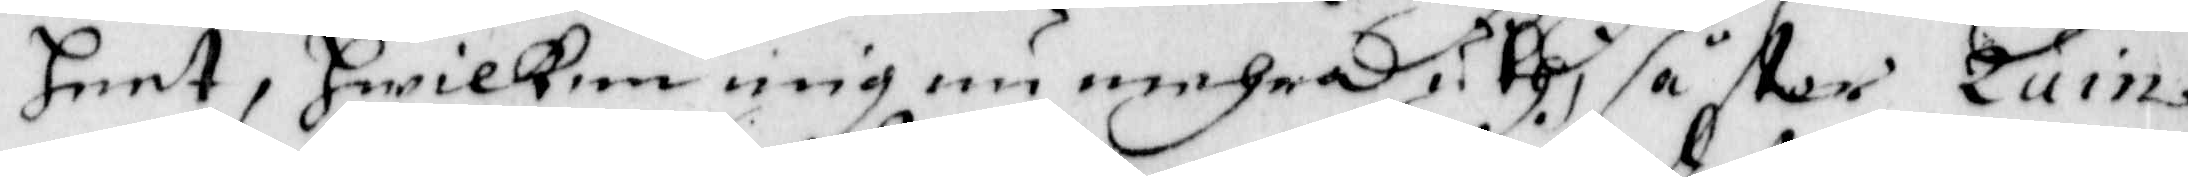heet, Hwilken mig nu mehra uthi så swår ruin
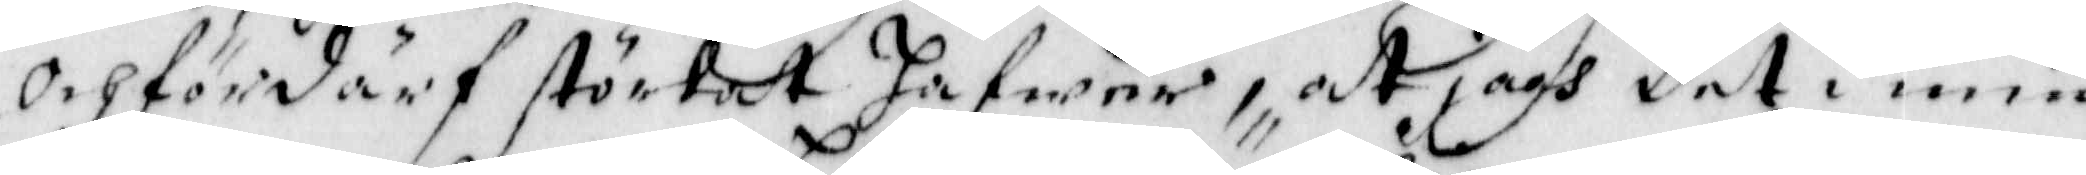och fördärf störtat Hafwer, Att jagh det i min
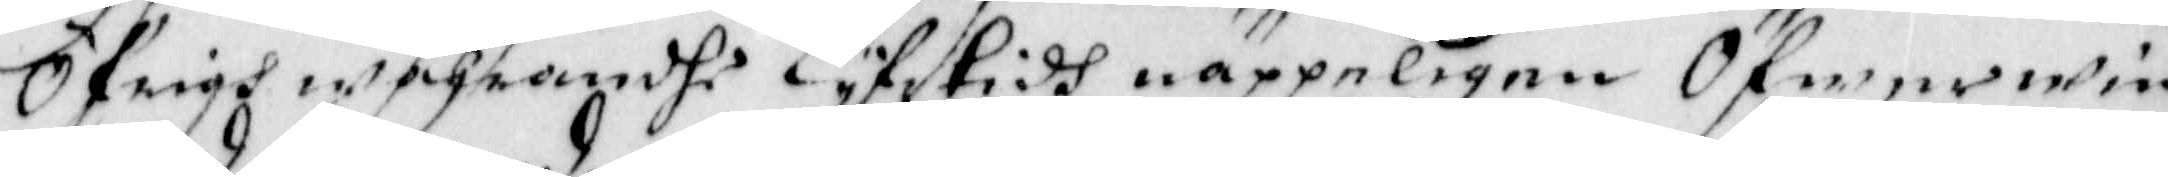Öfrigh wahrandhe Lyfstidh näppeligen Öfwerwi ¬
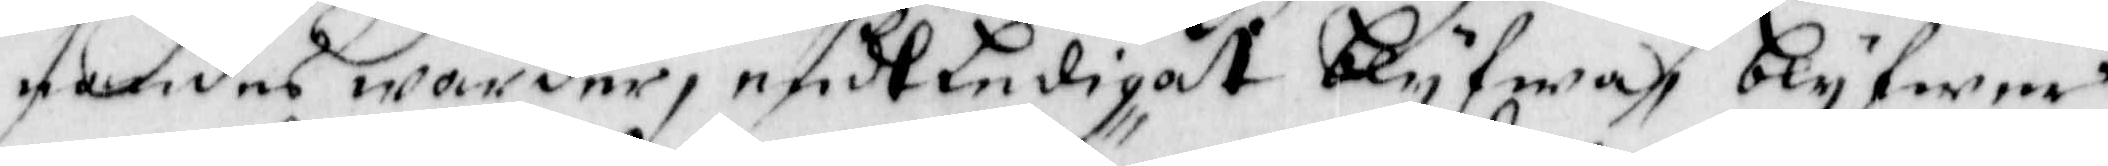nandes warder, endtledigast blyfwa, blyfwer
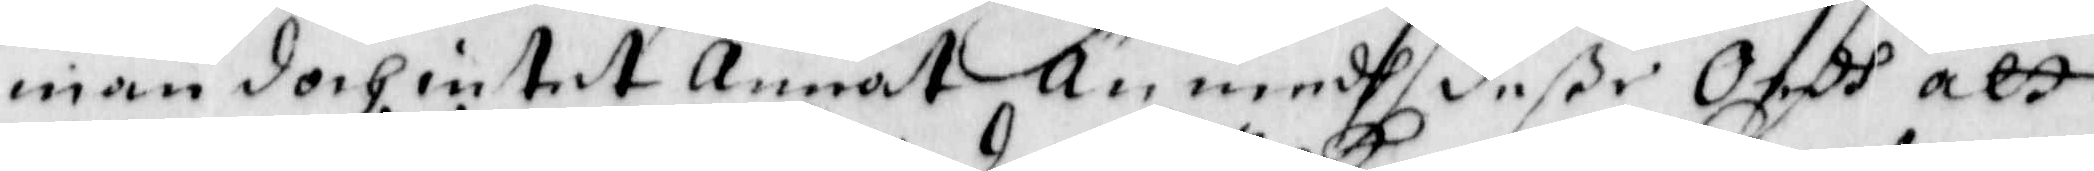man doch intet Annat Än medh deße Ordh att
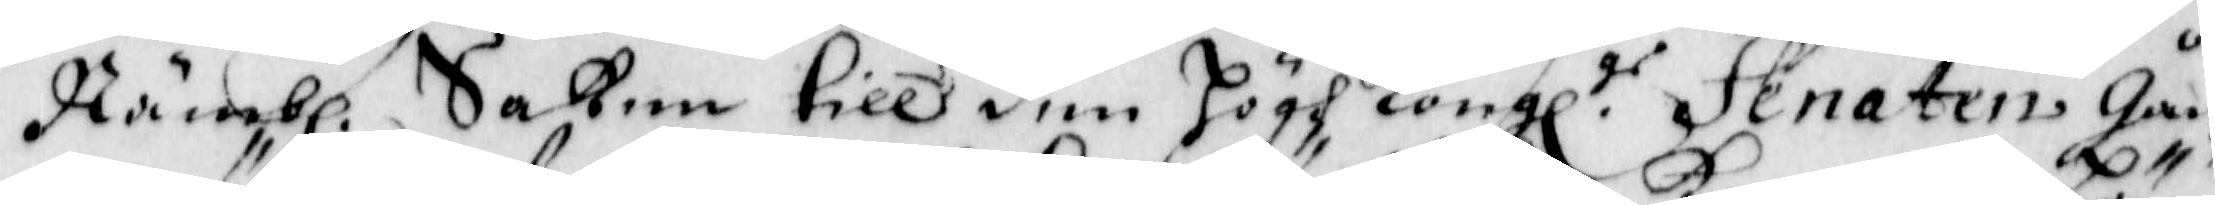Nämbl. Saken till den Högh Kongl.ge Senaten Gån¬
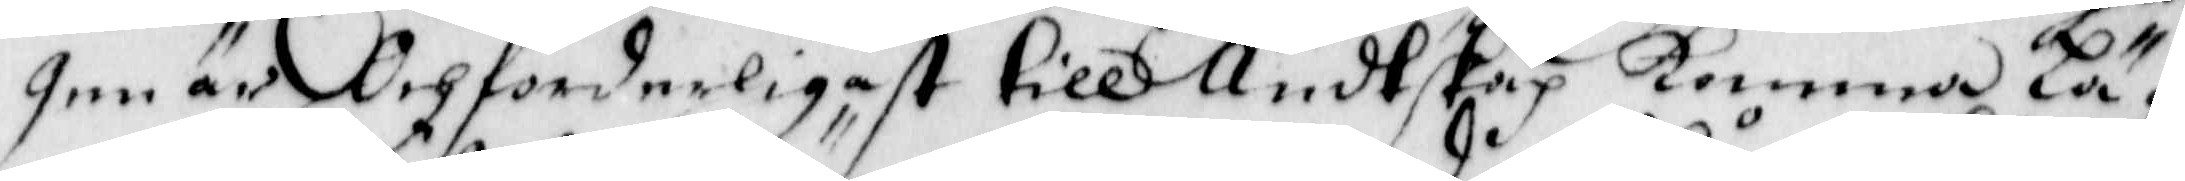gen är Och forderligast till Ändtskap komma Lä¬
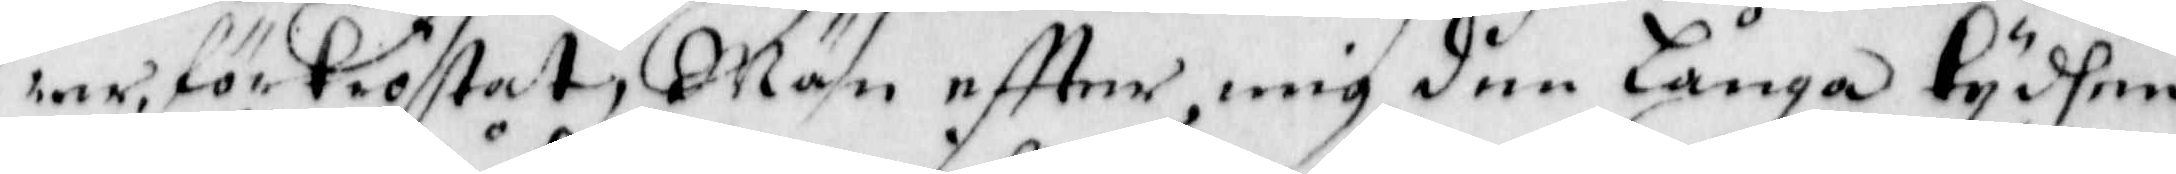rer, förtröstat, Mäm eftter mig den Långa tyden
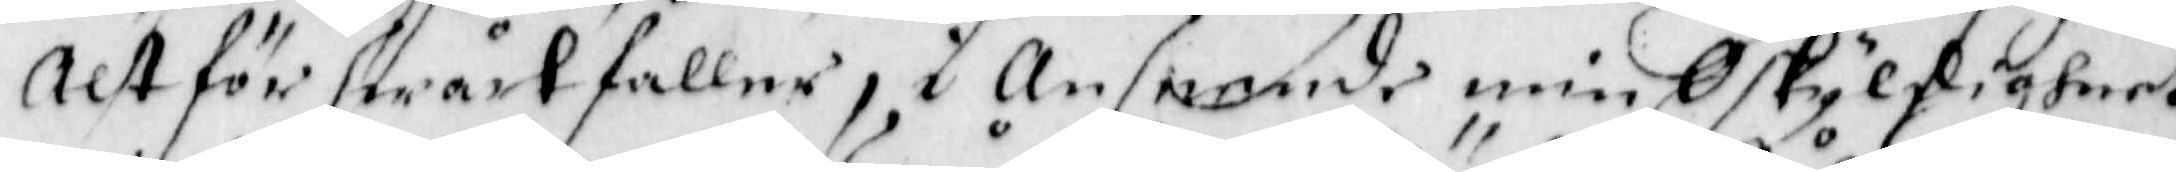Alt för swårt faller, i Anseende min Oskyldigheet
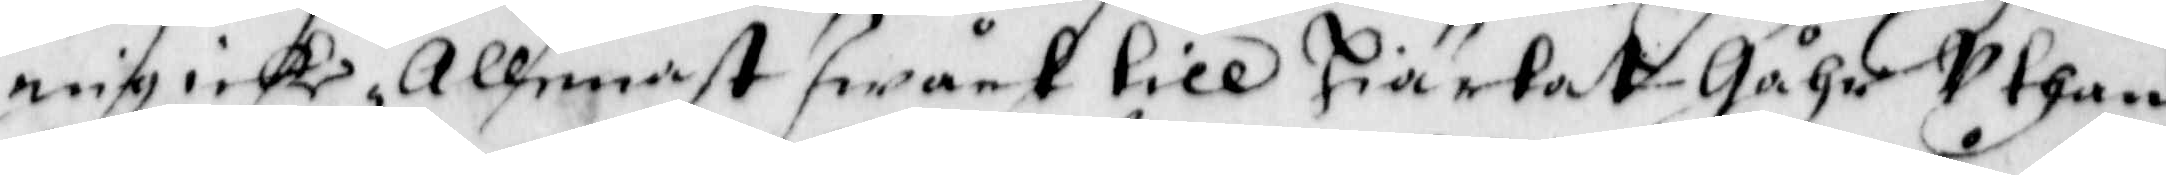mig icke Allenast swårt till Hiärtat gåhr uthan
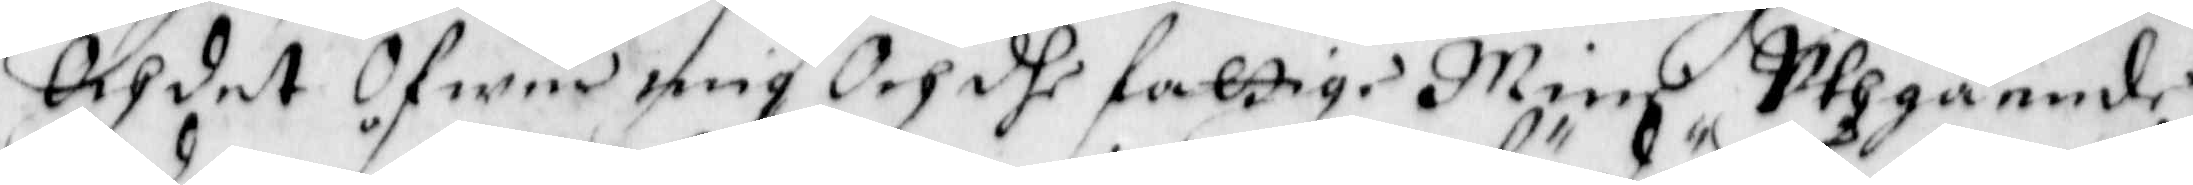Och det Öfwer mig Och dhe fattige Mine uthgående
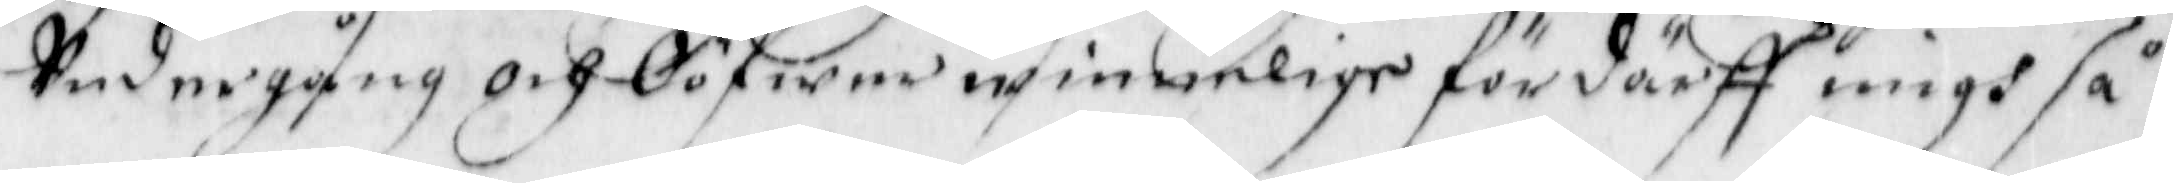undergång och Oöfwerwinnelige fördärff migh så
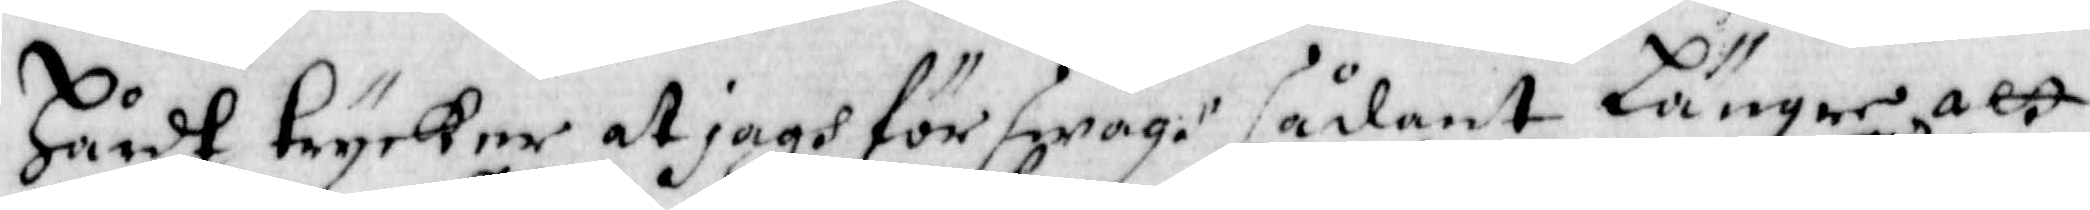Hårdt trycker at jagh förswagh sådant Längre att
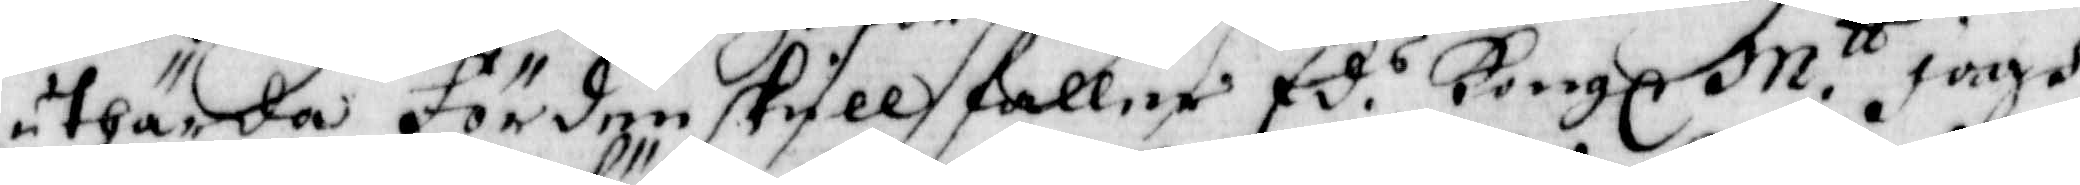uthärda förden skull faller Ed.s Kongl M.tt jagh
